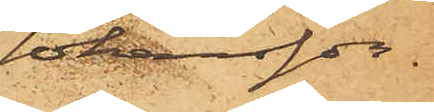Johansson
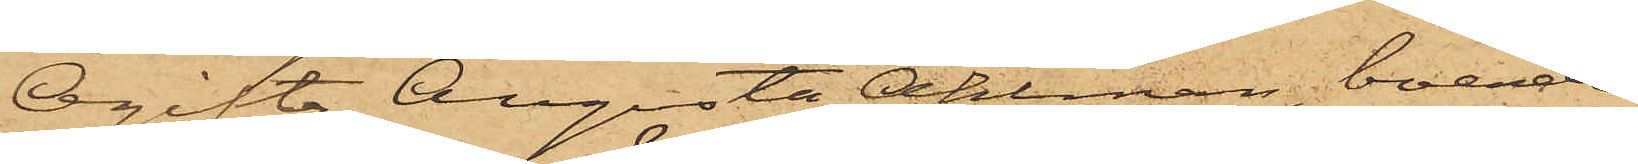Ogifta Augusta Ahlman, boende
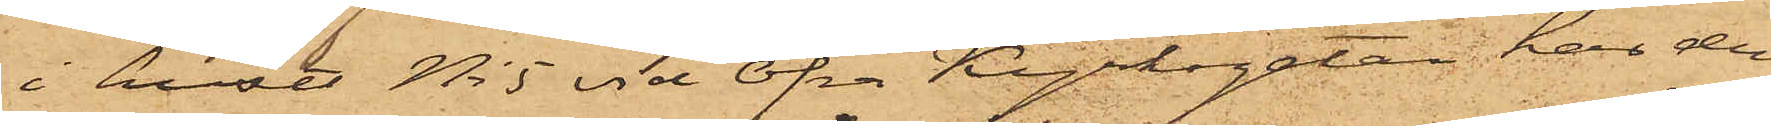i huset No 5 vid Öfre Kyrkogatan, har den
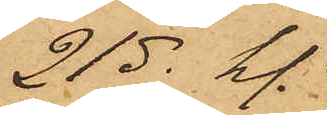21 ds  kl.
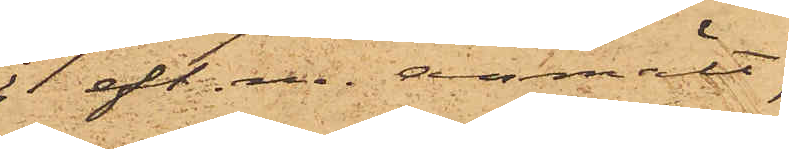1 eft. m. anmält,
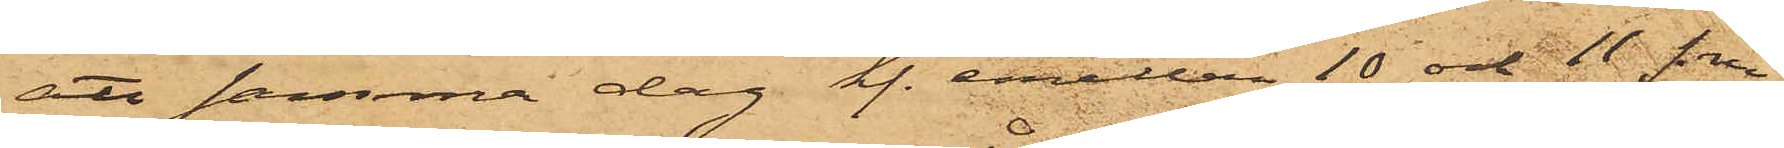att samma dag kl. emellan 10 och 11 fm
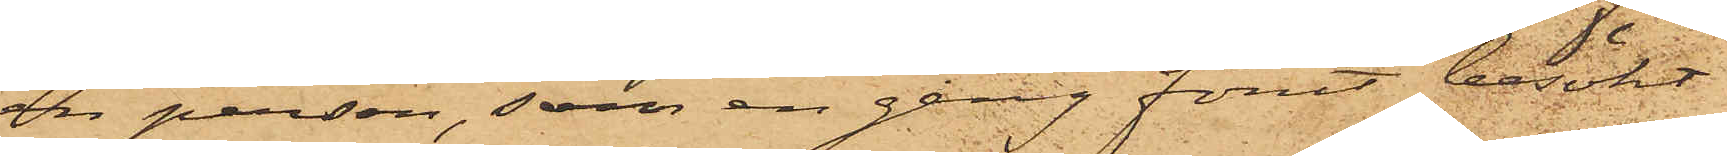en person, som en gång förut besökt
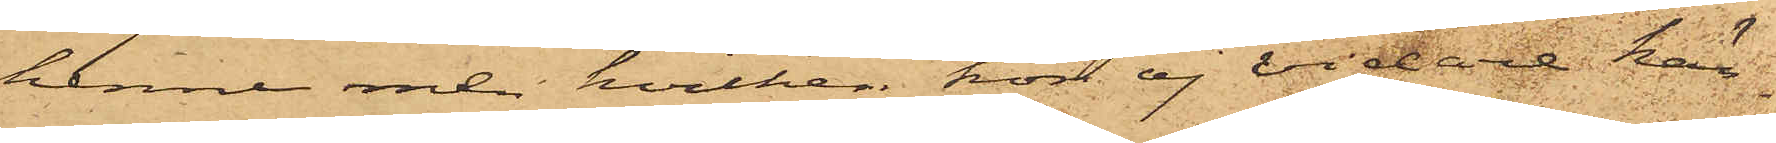henne men hvilken hon ej vidare kän¬
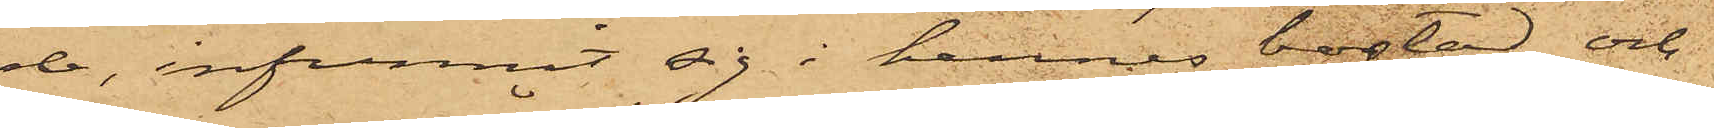de, infunnit sig i hennes bostad och
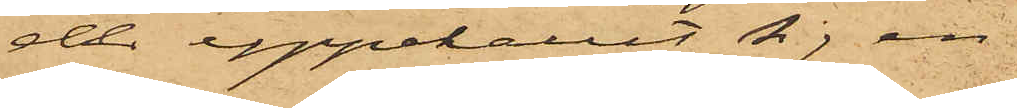der uppehållit sig en
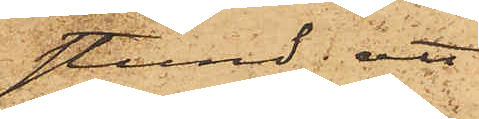stund; att
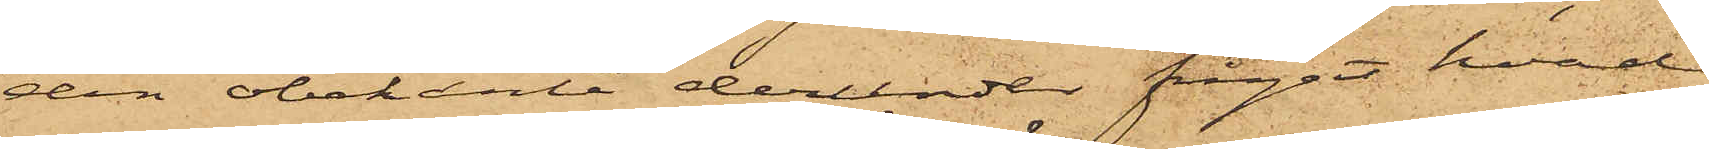den obekante derunder frågat hvad
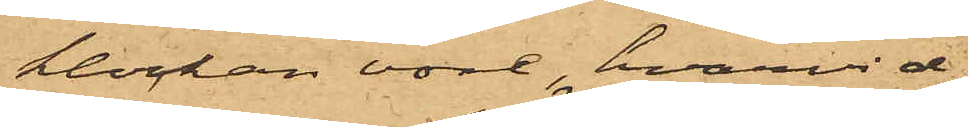klockan vore, hvarvid
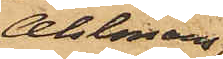Ahlmans
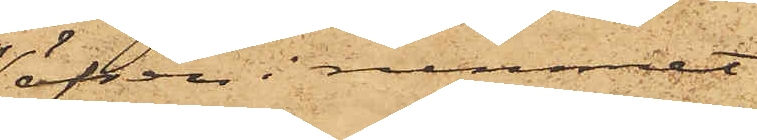äfven i rummet
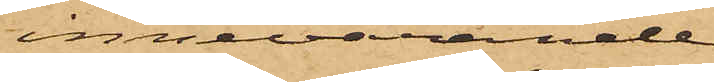innevarande
